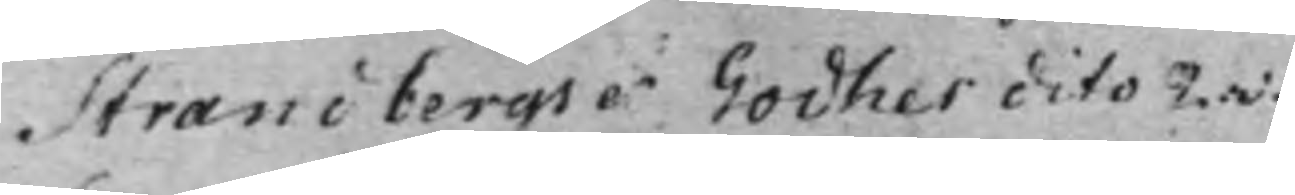Strandbergs et Godhes dito 2.v.
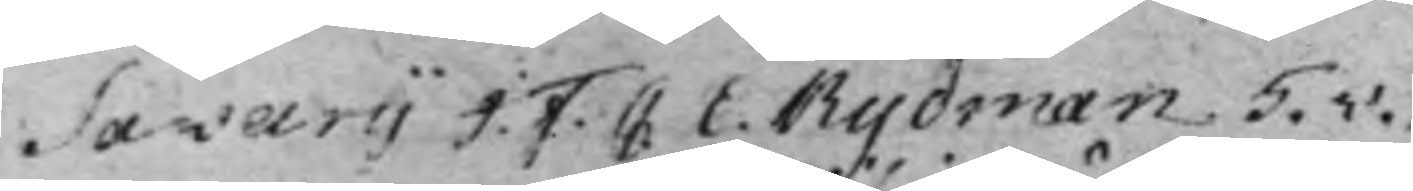Savarij J. F. C E. Rydman 5.v.
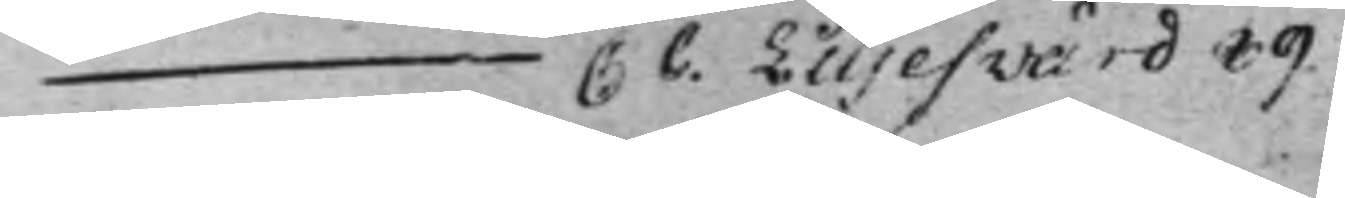— C C. Liljeswärd 89.
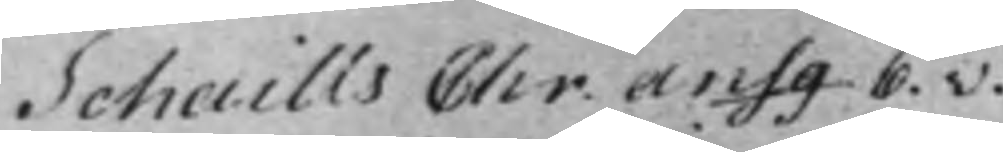Schaills Chr. ansg 6.v.
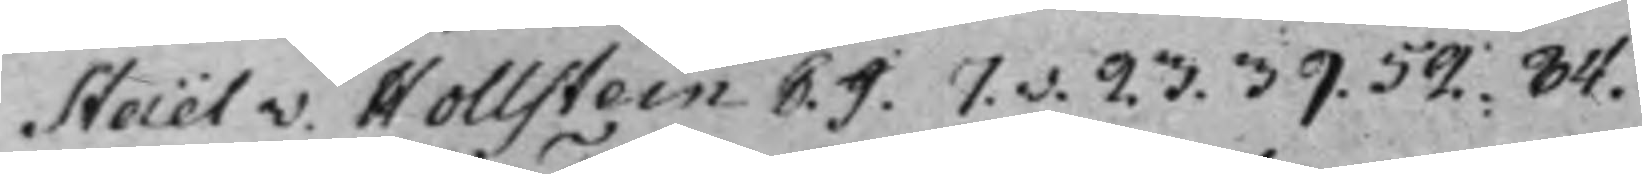Staël v. Hollstein C. J. 7.v. 23. 39. 52. 84.
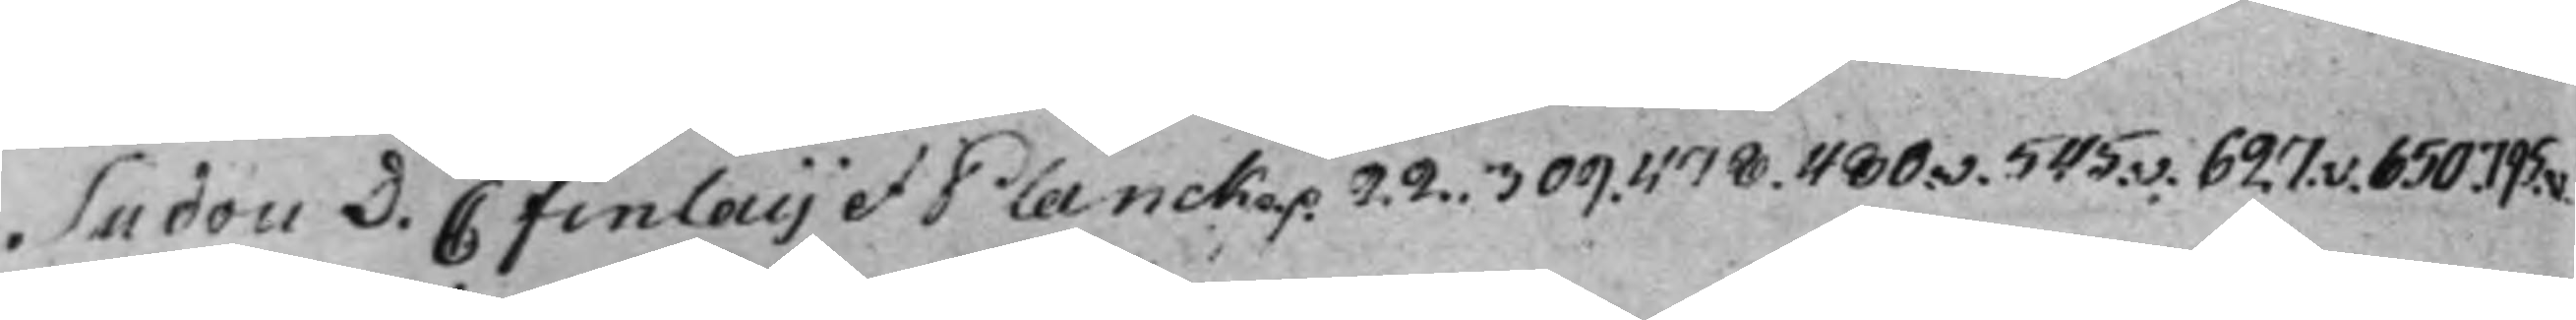Sudou D. C Finlaij et Planck p.p. 22. 309. 478. 480.v. 545.v. 627.v. 650. 795.v.
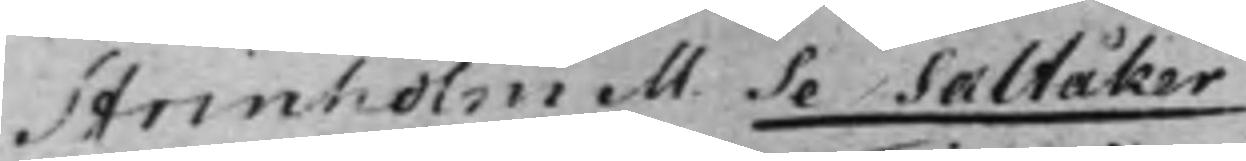Strinholm M. Se Saltåker
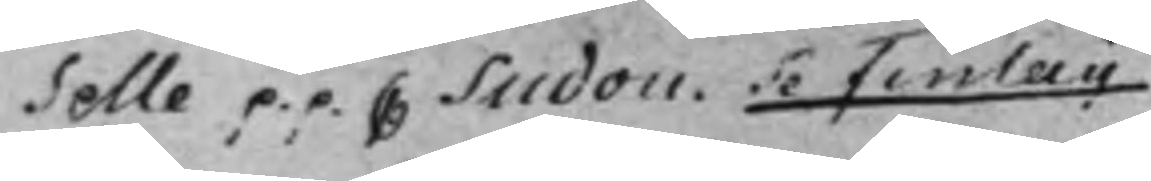Selle p.p. C Sudou Se Finlaij
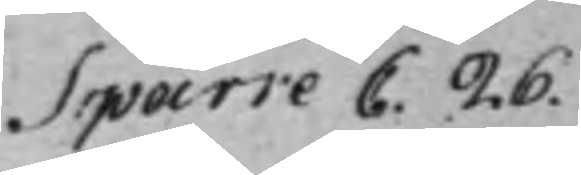Sparre C. 26.
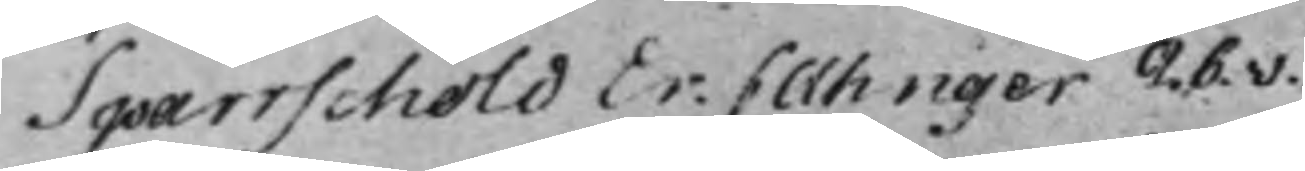Sparrschöld Er: C. Ahnger 26.v.
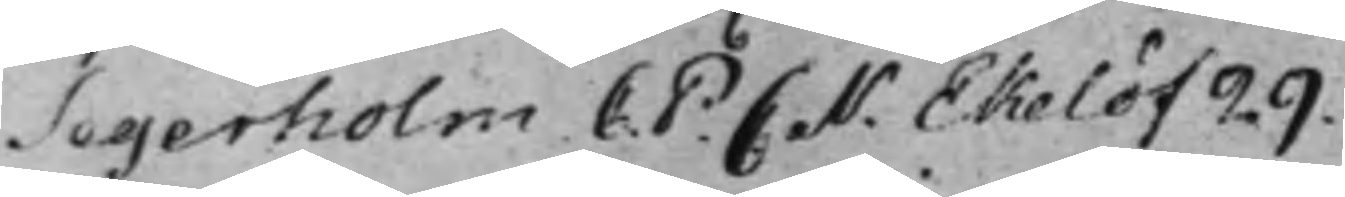Segerholm C. P. C N. Ekelöf 29.
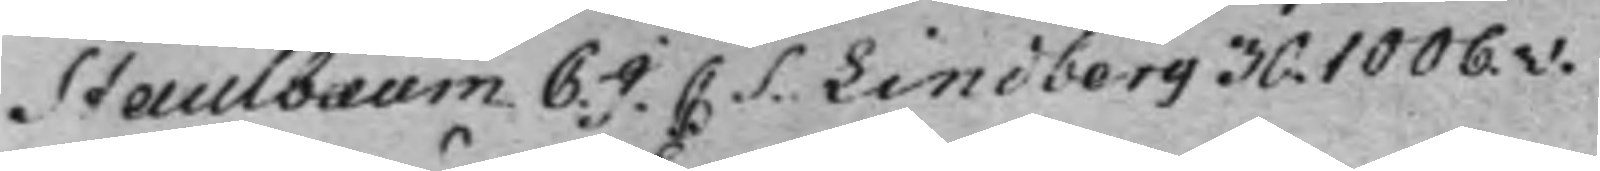Staulbaum C. J. C: S. Lindberg 30. 1006.v.
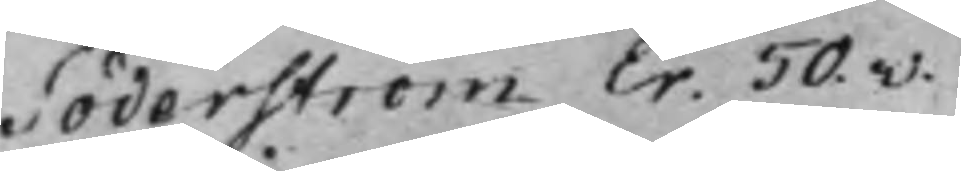Söderström Er. 50.v.
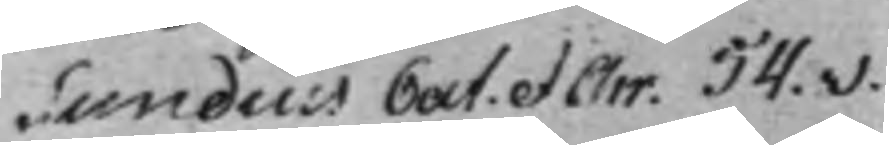Sundius Cat. et Chr. 54.v.
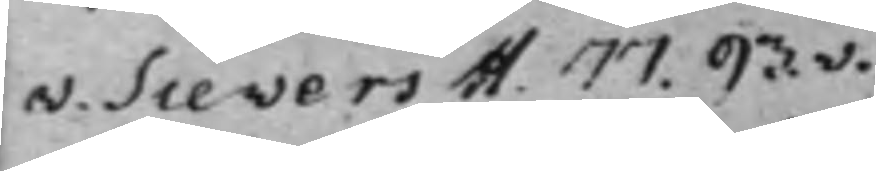v. Sievers H. 77. 93.v.
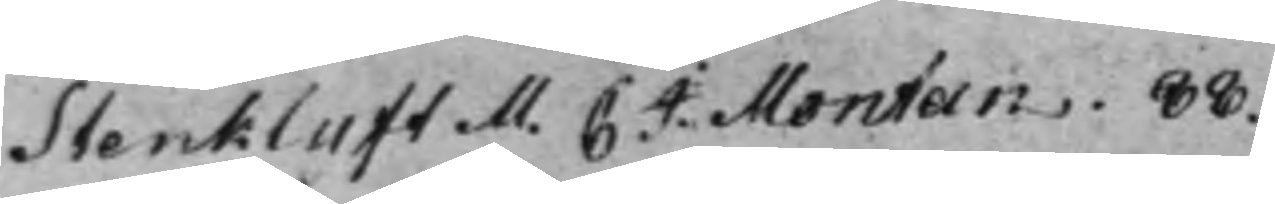Stenklyft M. C: J. Montan. 88.
